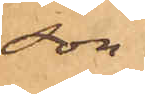son.
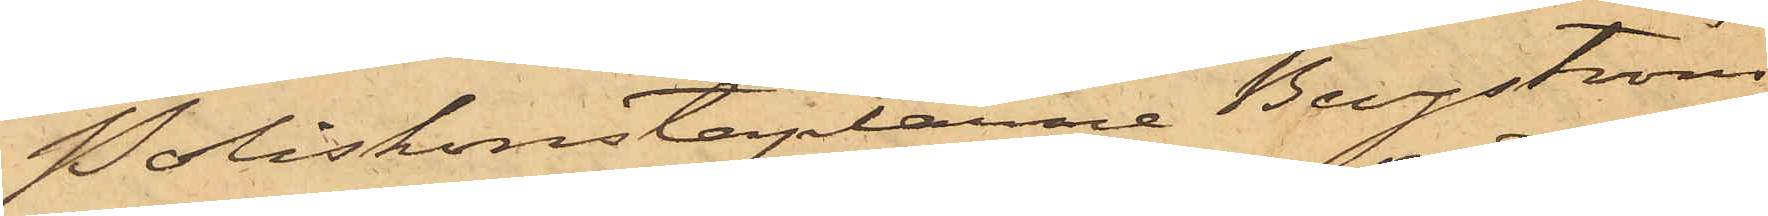Poliskonstaplarne Bergström
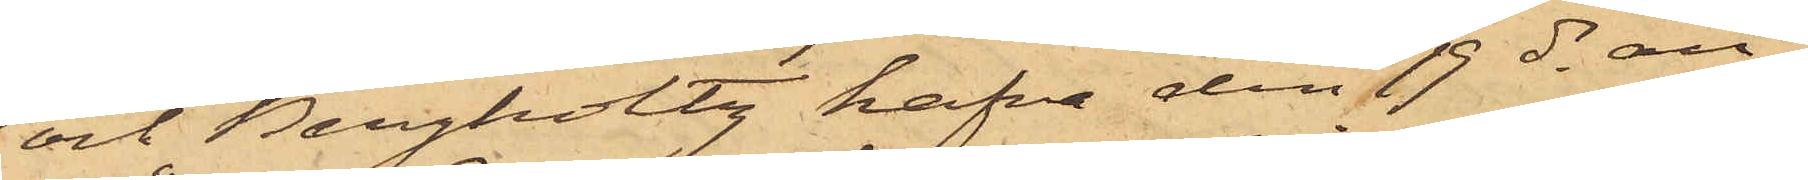och Bergholtz hafva den 19 ds an¬
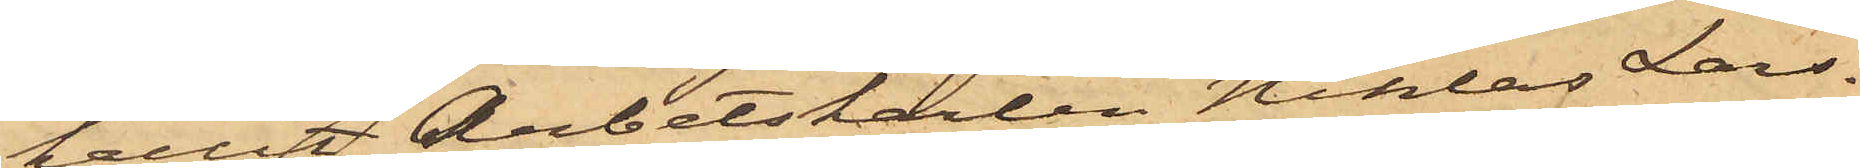hållit Arbetskarlen Niklas Lars¬
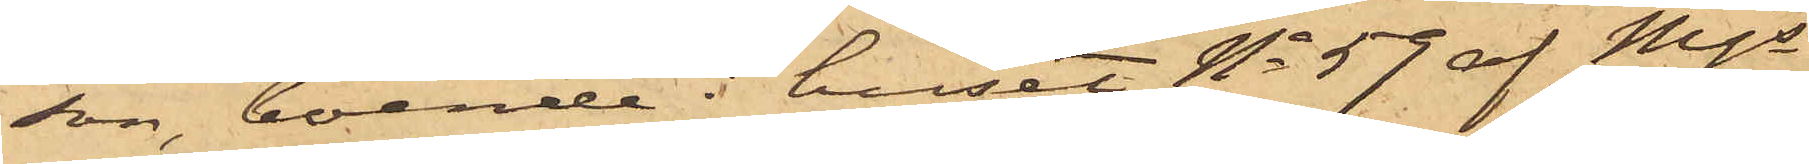son, boende i huset No 59 af Mjs
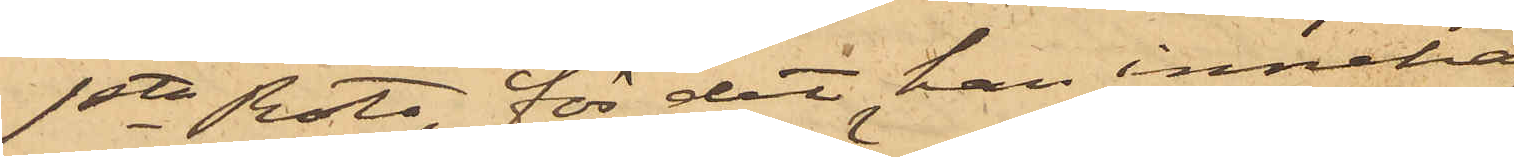1sta Rote, för det han inneha¬
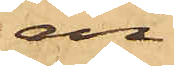en
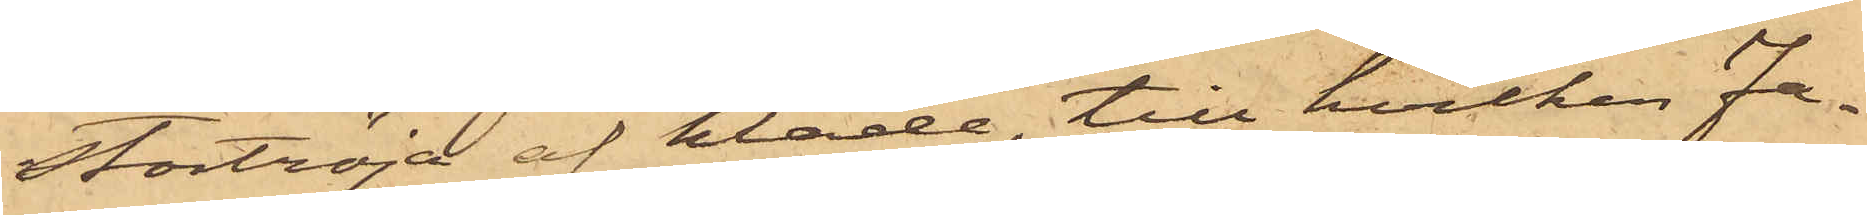stortröja af kläde, till hvilken Fa¬
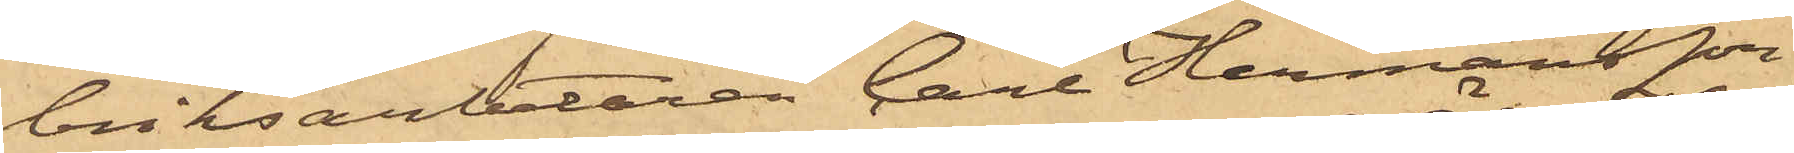briksarbetaren Carl Hermansson,
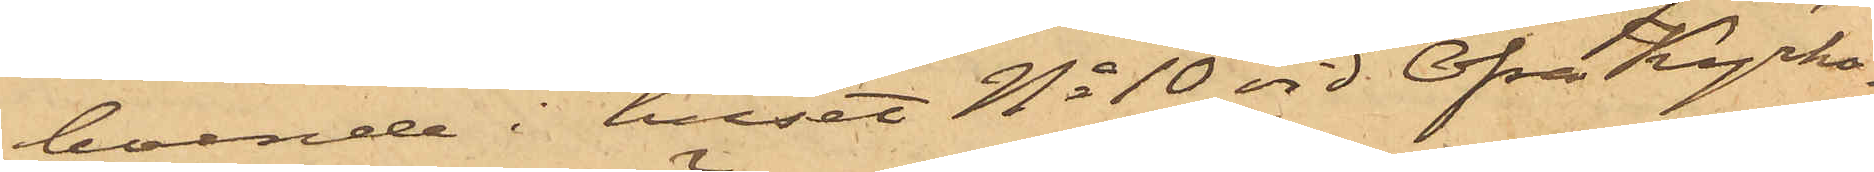boende i huset No 10 vid Öfra Kyrko¬
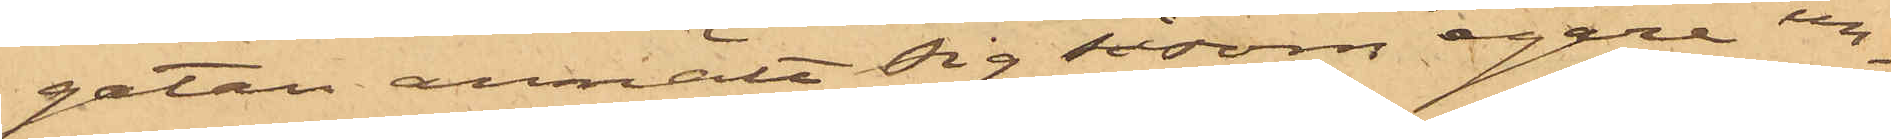gatan anmält sig såsom egare un¬
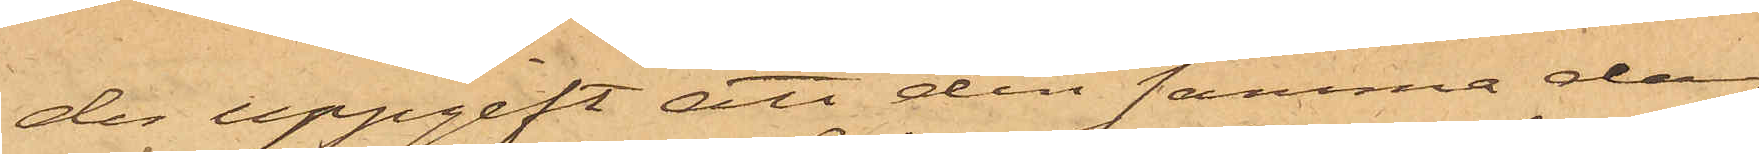der uppgift att den samma dag
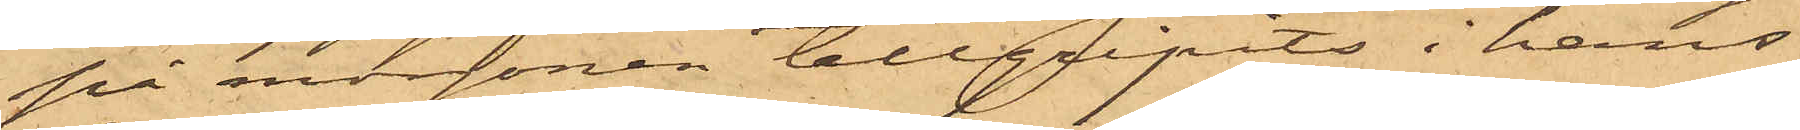på morgonen tillgripits i hans
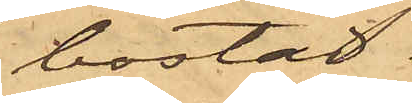bostad.
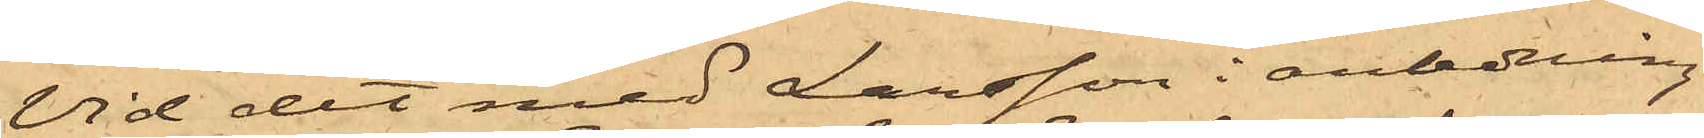Vid det med Larsson i anledning
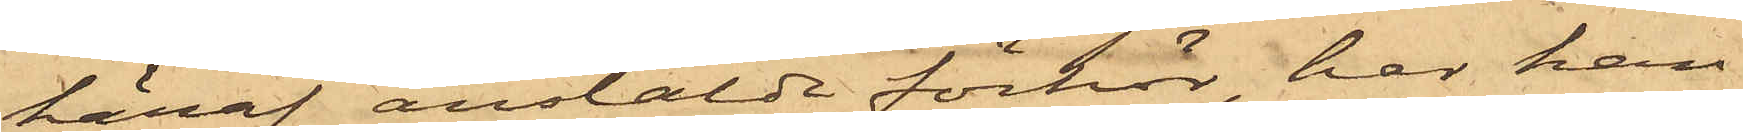häraf anstälde förhör, har han
